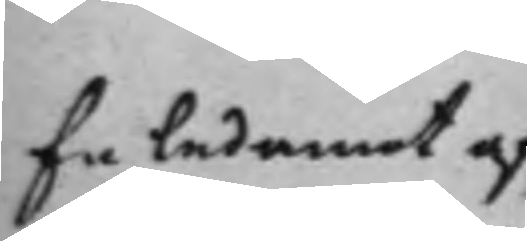En ledamot af¬
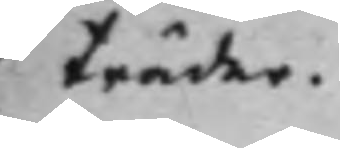träder.
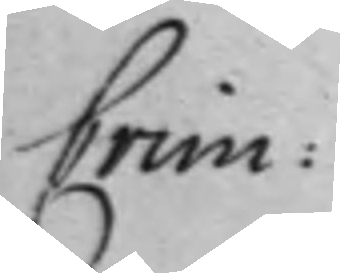Crim:
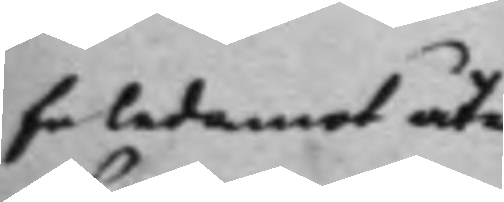En ledamot åter¬
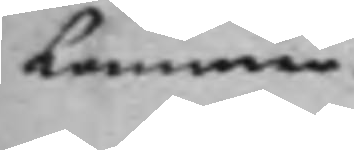kommer.
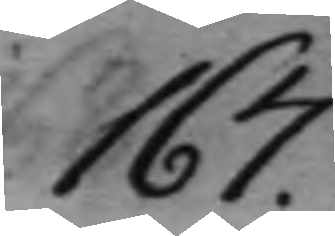167.
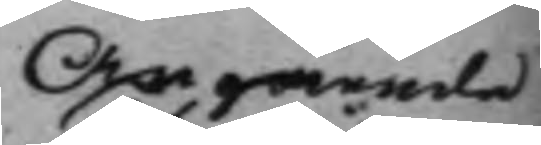Angående
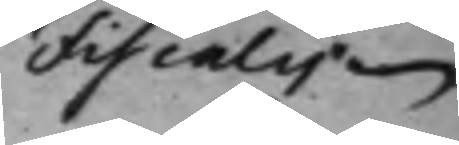Fiscalen
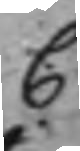C
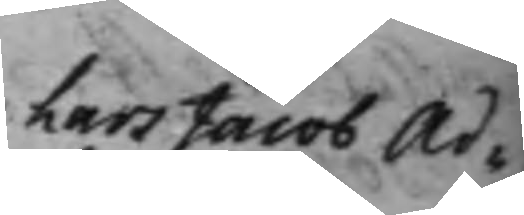Lars Jacob Ad¬
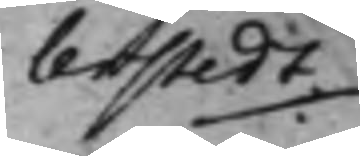lerstedt ./.
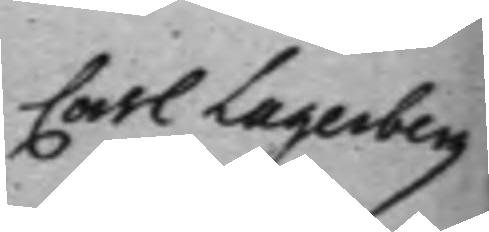Carl Lagerberg
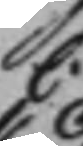C:
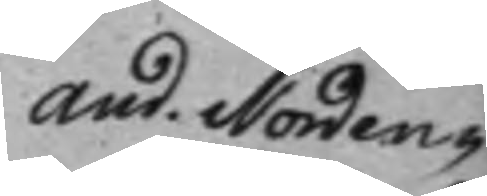And. Norden¬
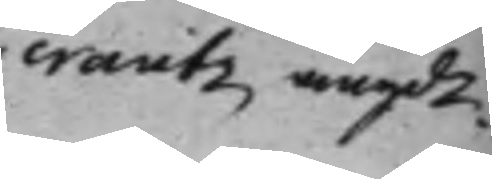crantz angde.
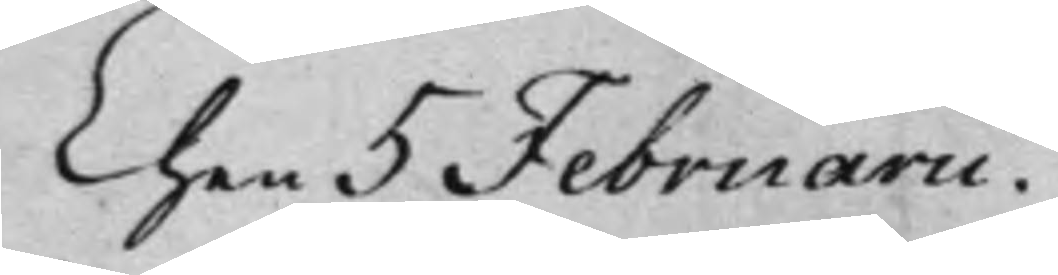Then 5 Februarii.
